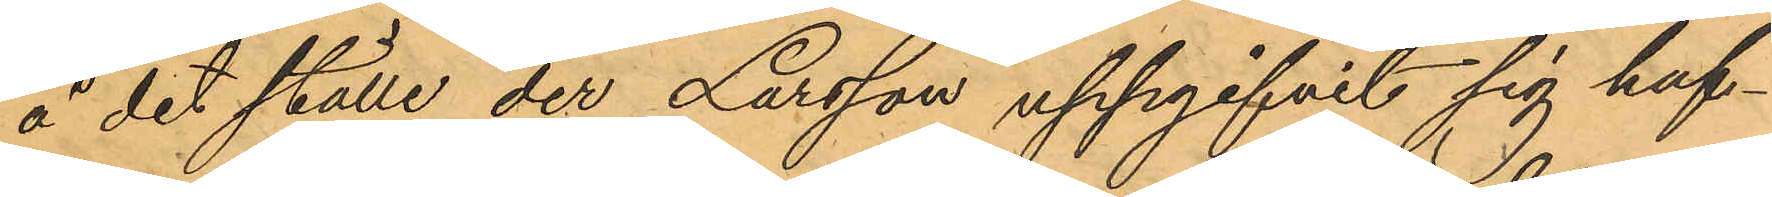å det ställe der Larsson uppgifvit sig haf¬
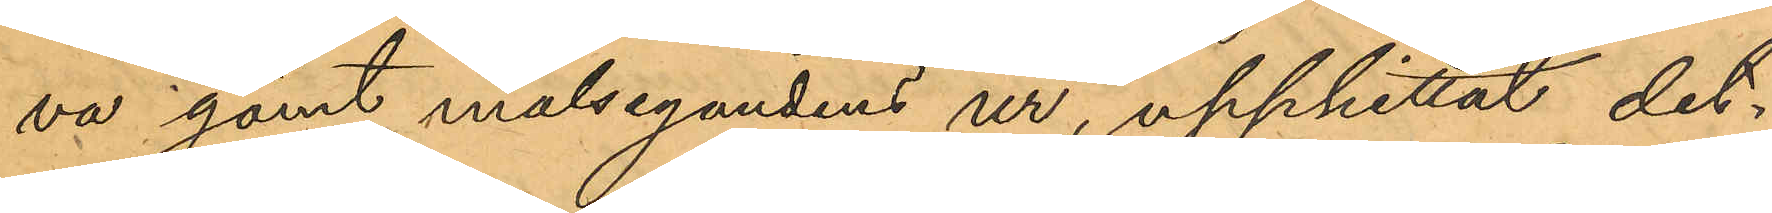va gömt målsegandens ur, upphittat det¬
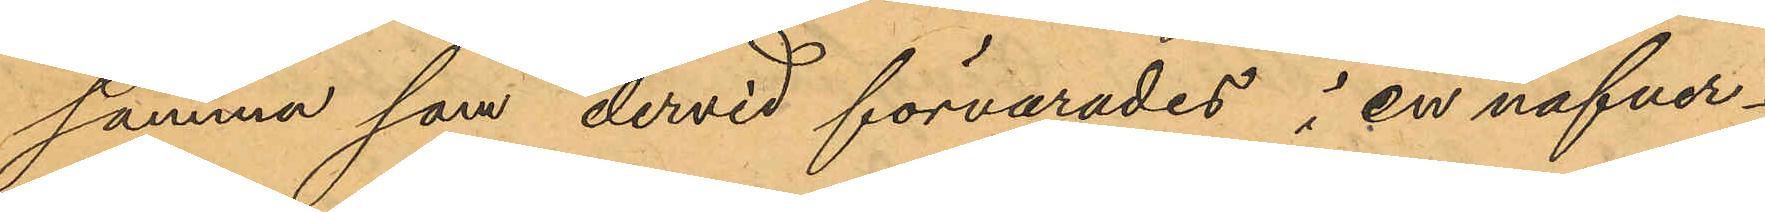samma som dervid förvarades i en näfver¬
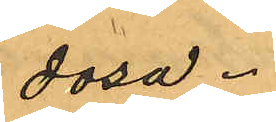dosa.
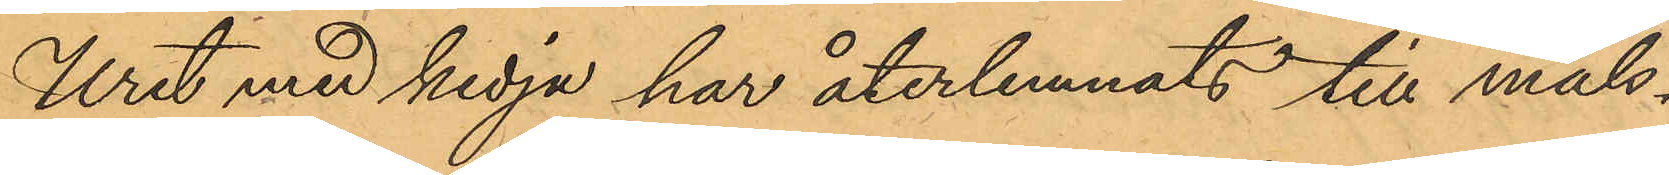Uret med kedja har återlemnats till måls¬
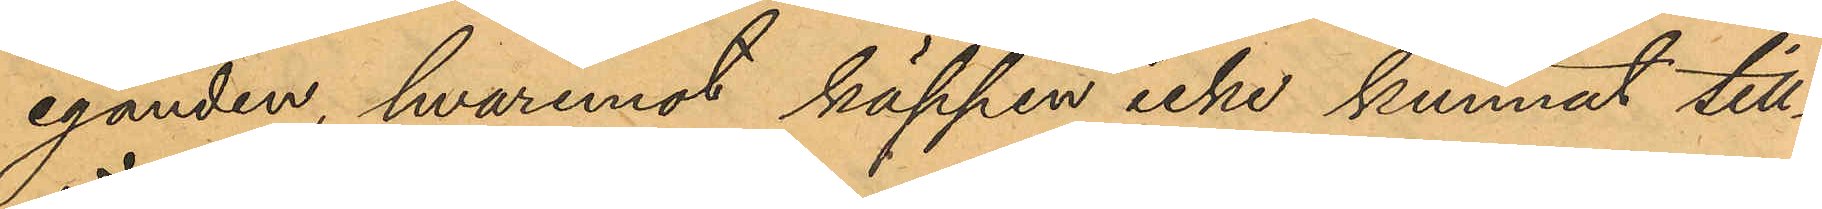eganden, hvaremot käppen icke kunnat till¬
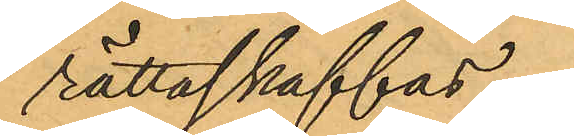rättaskaffas.
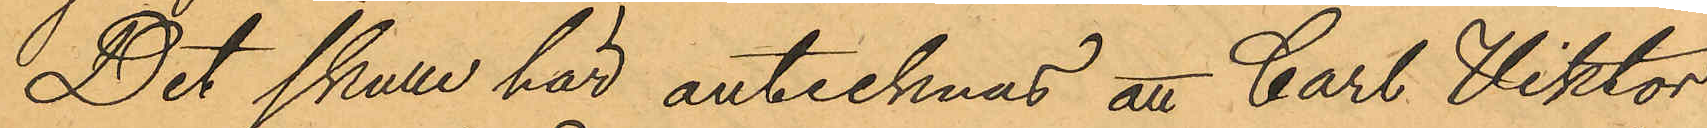Det skulle här antecknas att Carl Viktor
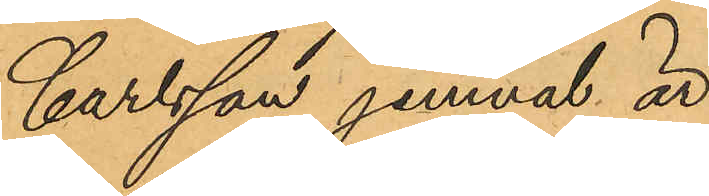Carlsson jemväl är
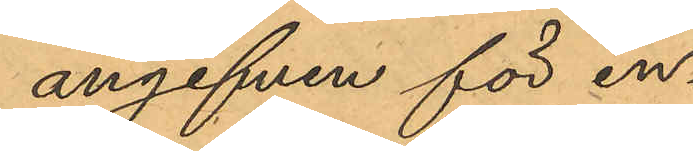angifven för in¬
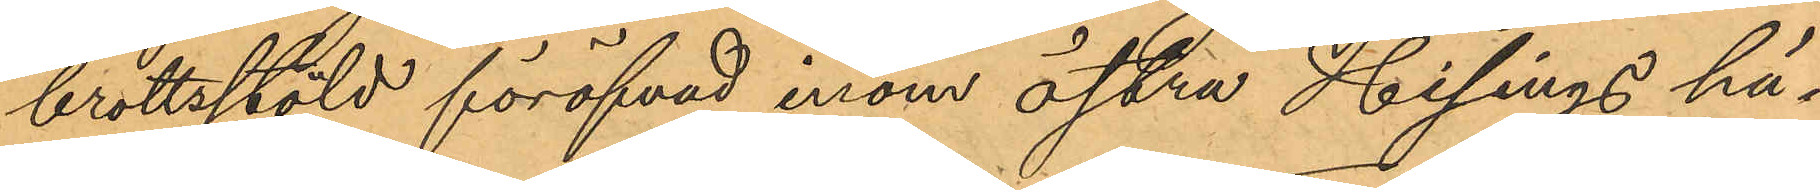brottsstöld föröfvad inom Östra Hisings hä¬
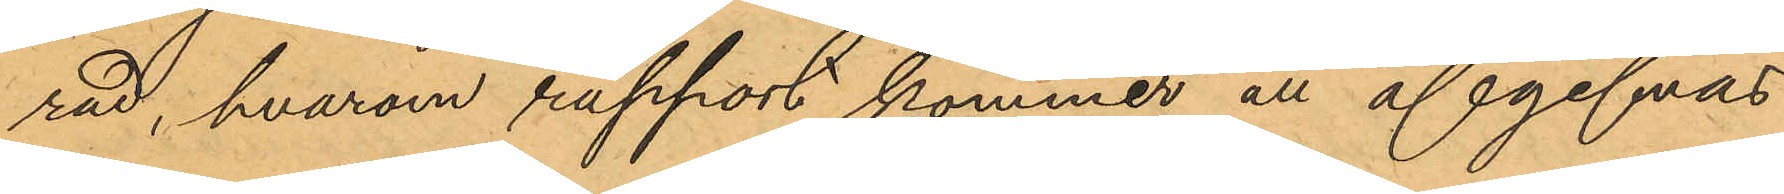rad, hvarom rapport kommer att afgifvas
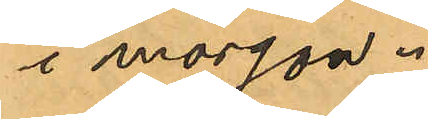i morgon.
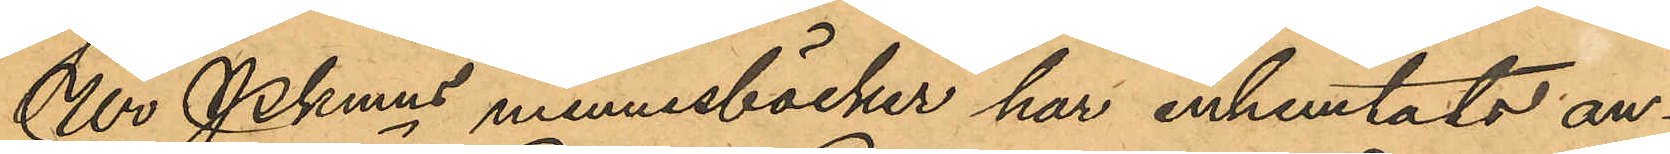Ur Pkmns minnesböcker har inhemtats an¬
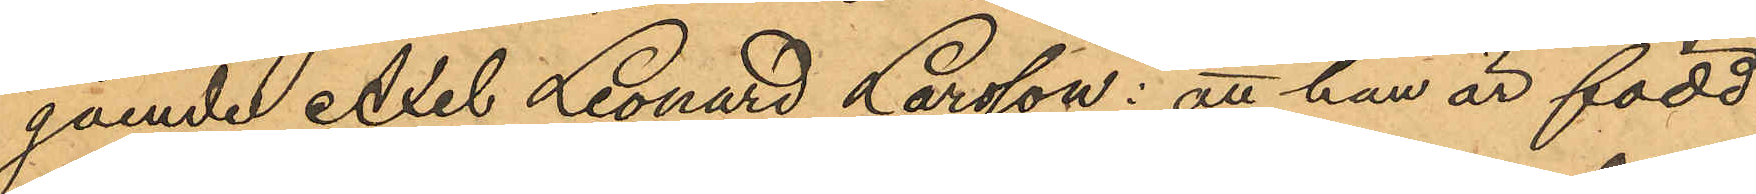gående Axel Leonard Larsson: att han är född
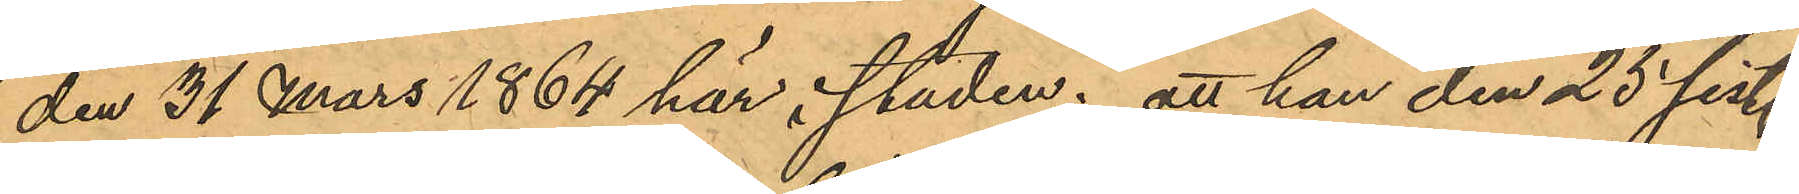den 31 Mars 1864 här i staden; att han den 25 sist.
